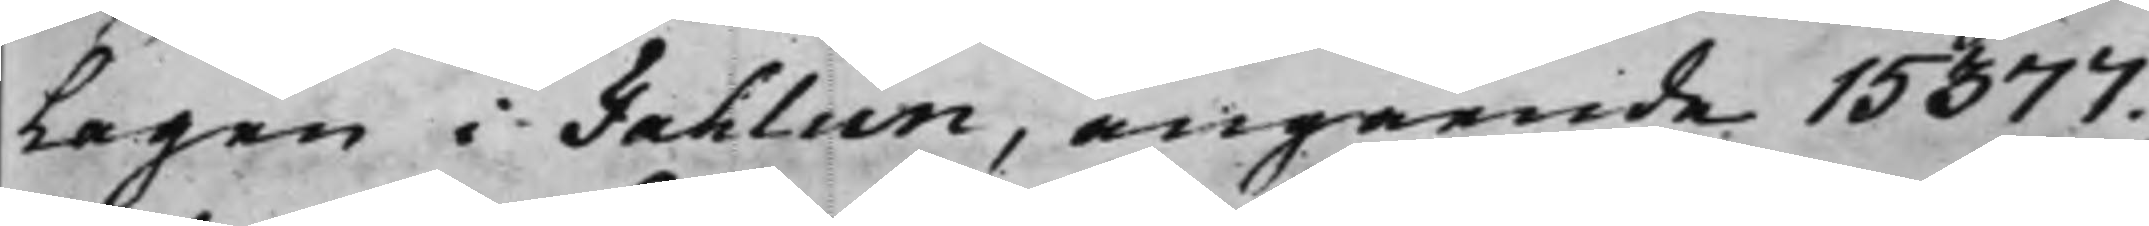lagen i Fahlun, angående 15377.
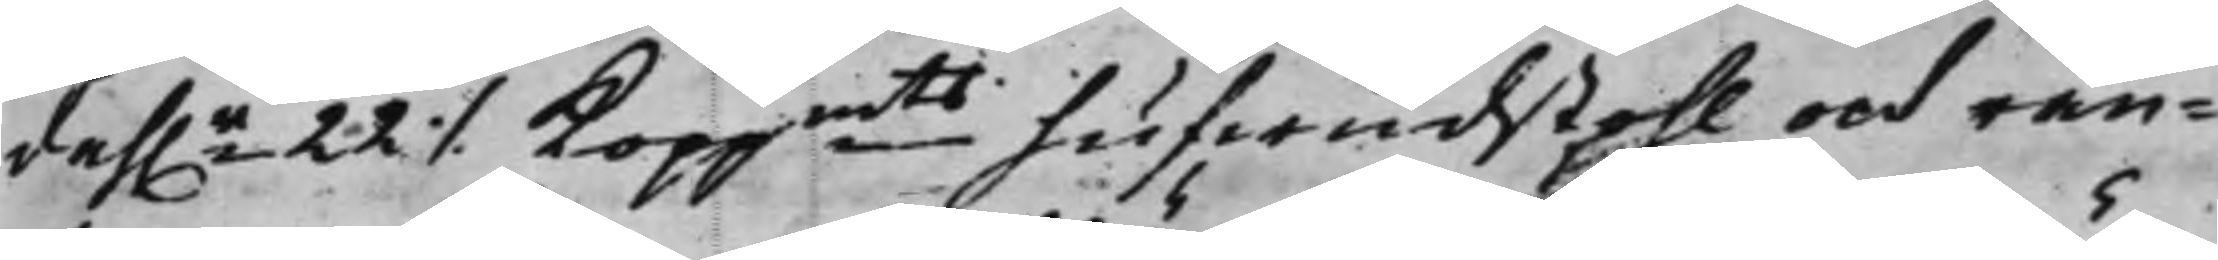dah.r 22 ./. Koppmts hufwudstohl och rän¬
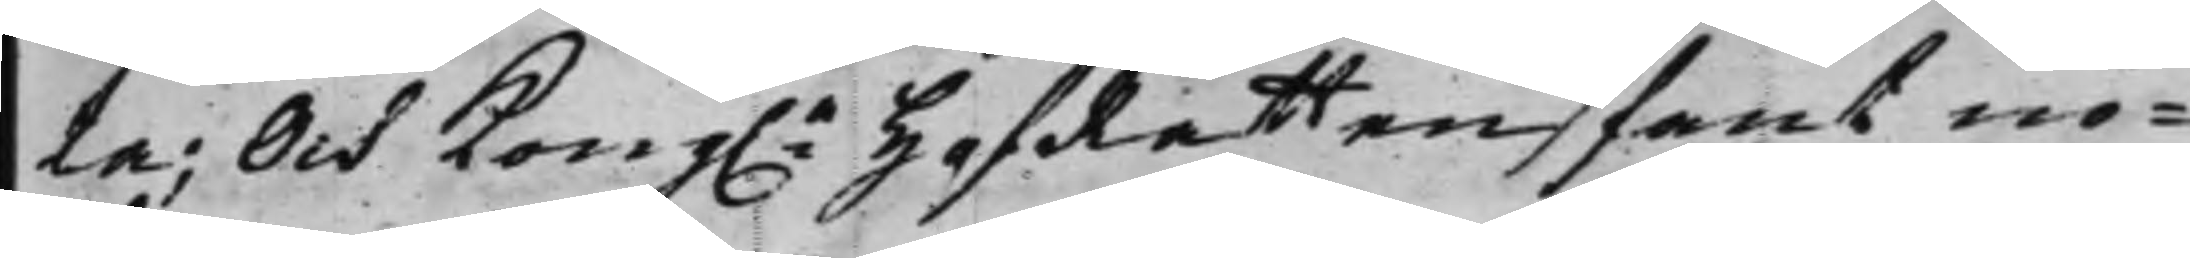ta; Och Kong.e HofRätten fant nö¬
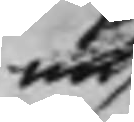nu
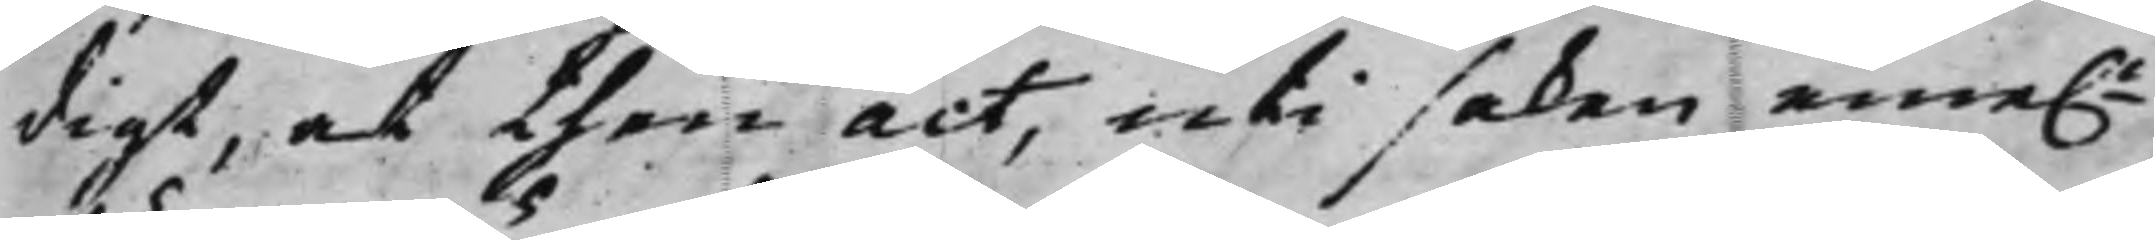digt, at then act, uti saken eme.n
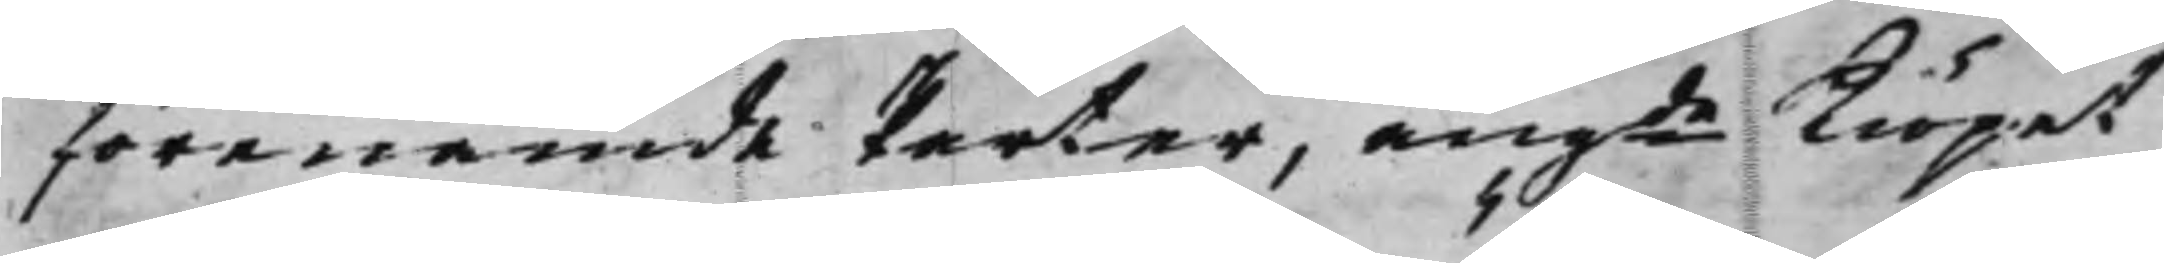förenämde Parter, angde Kiöpet
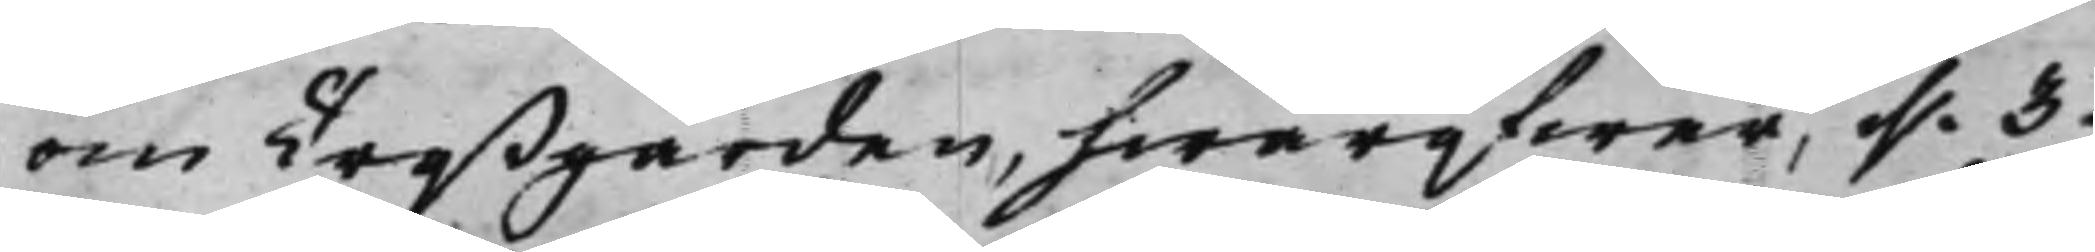om Treßgården, hwaröfwer, d. 3.
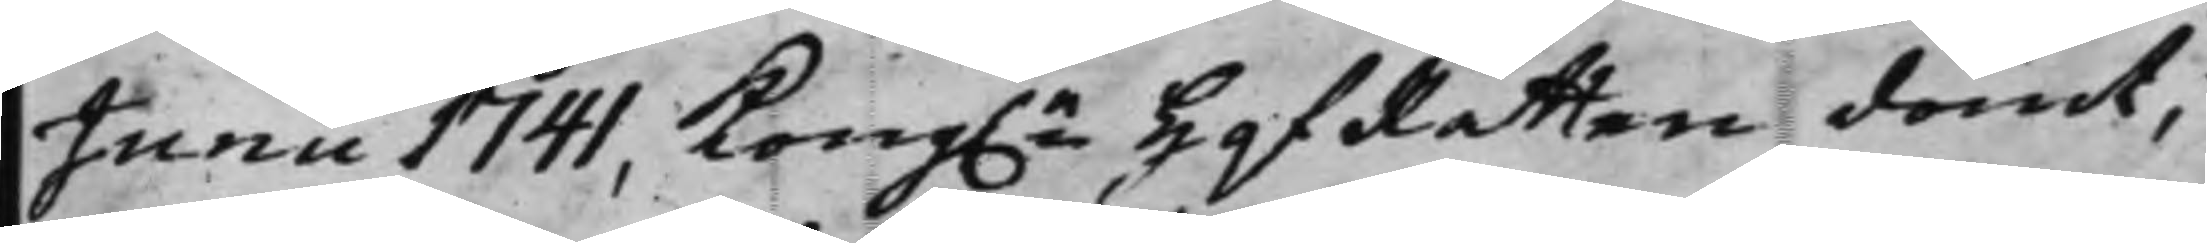Junii 1741, Kong.e HofRätten dömt,
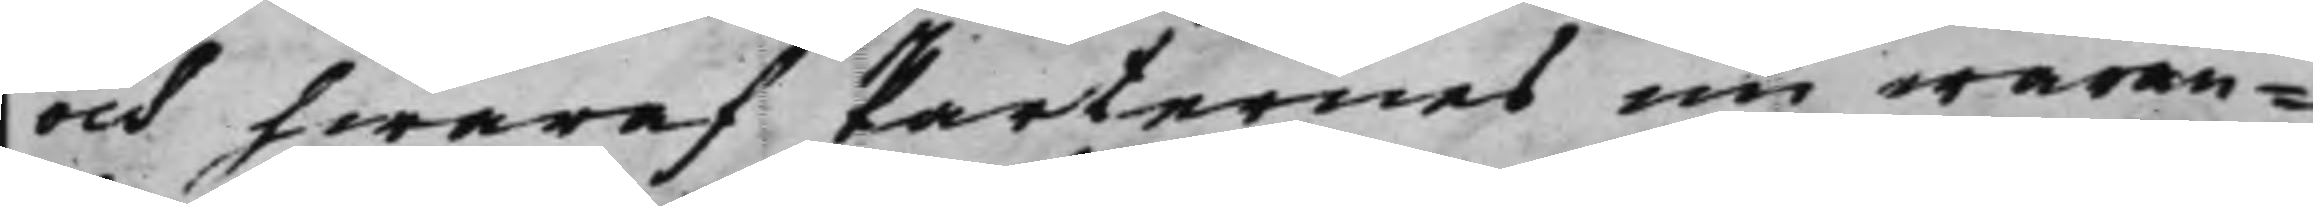och hwaraf Parternes nu waran¬
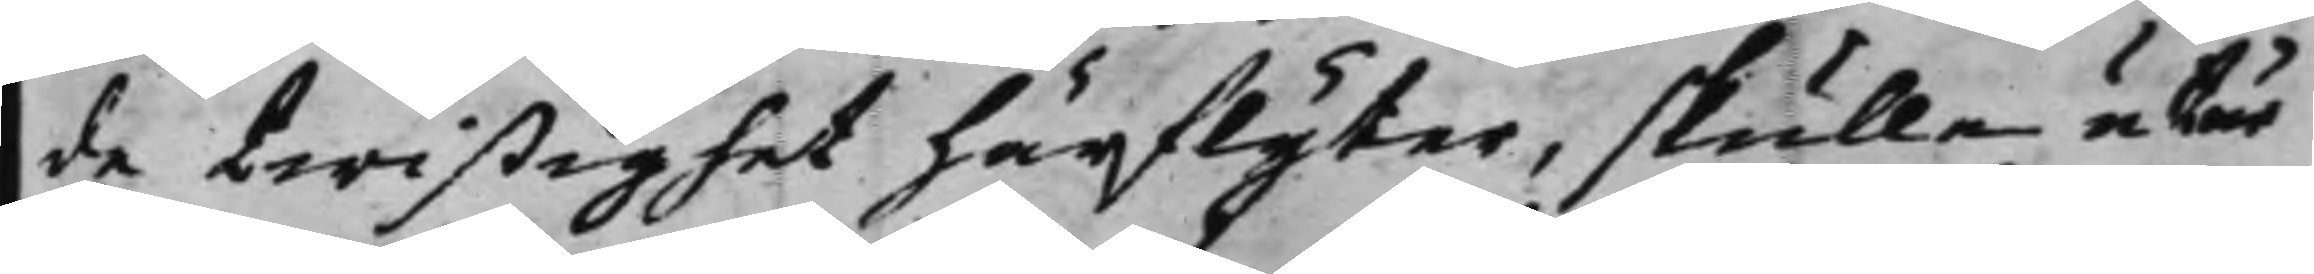de twistighet härflyter, skulle utur
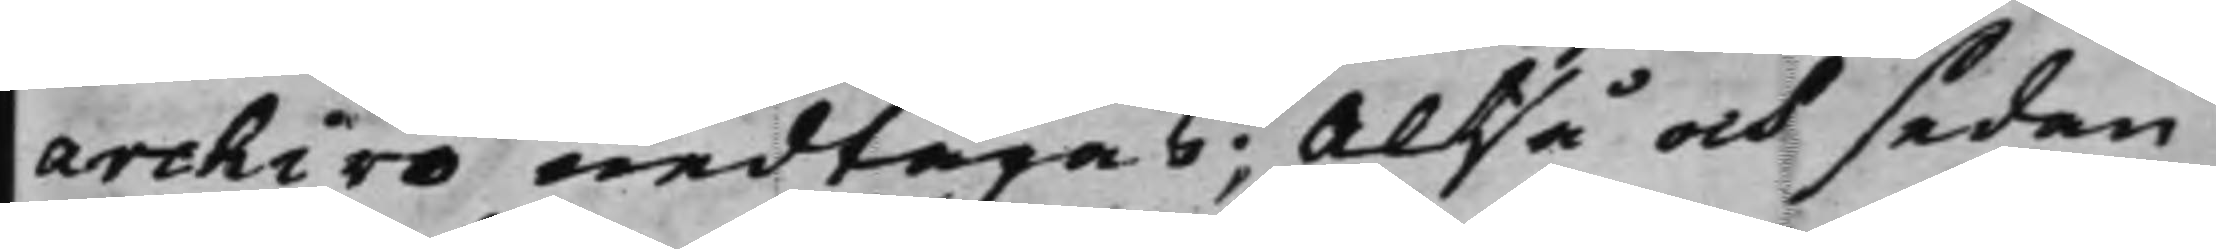archivo nedtagas; Altså och sedan
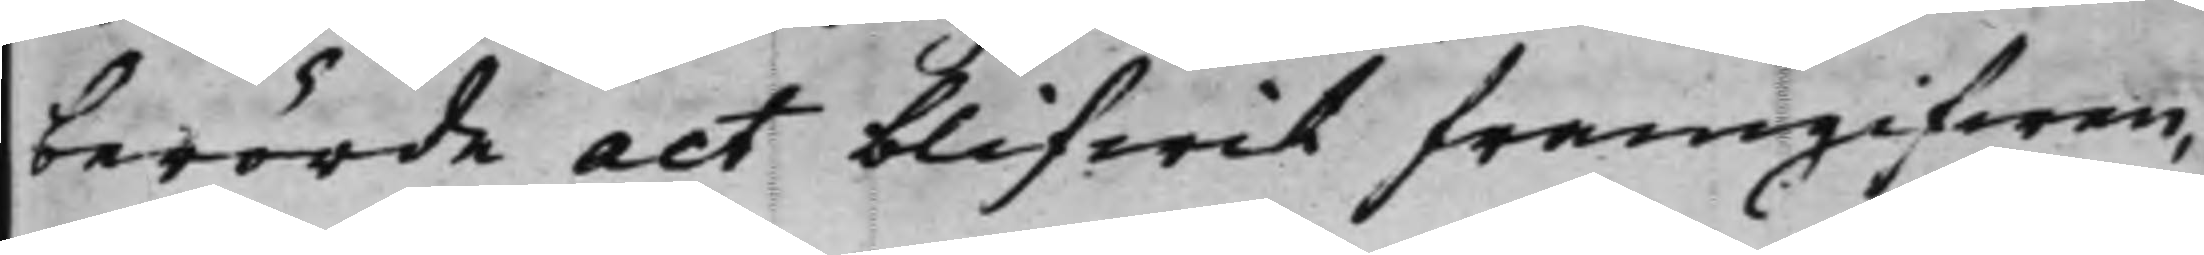berörde act blifwit framgifwen,
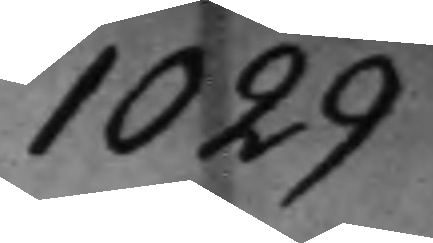1029
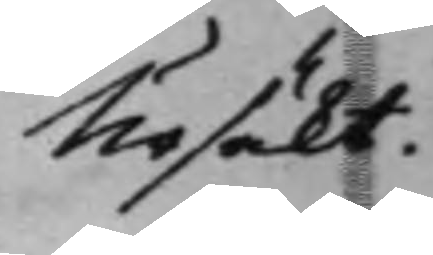Ursäkt.
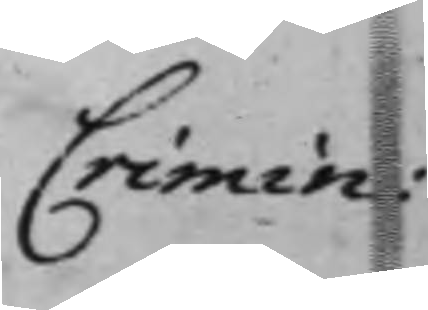Crimin:
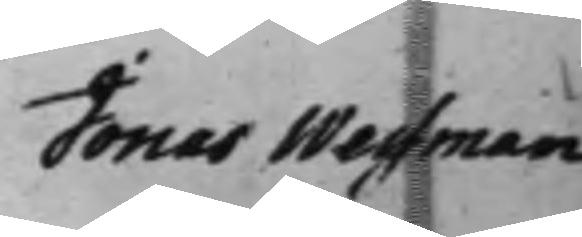Jonas Wessman
